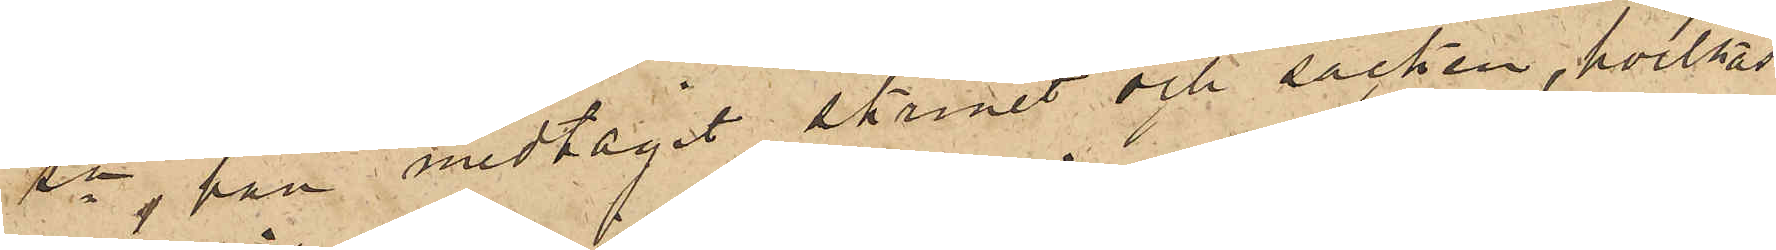sn, han medtagit skrinet och säcken, hvilkas
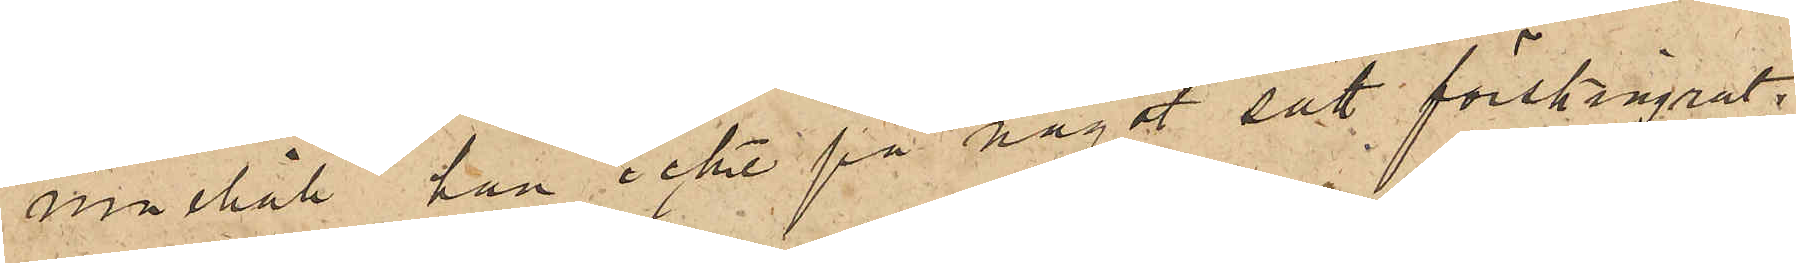innehåll han icke på något sätt förskingrat;
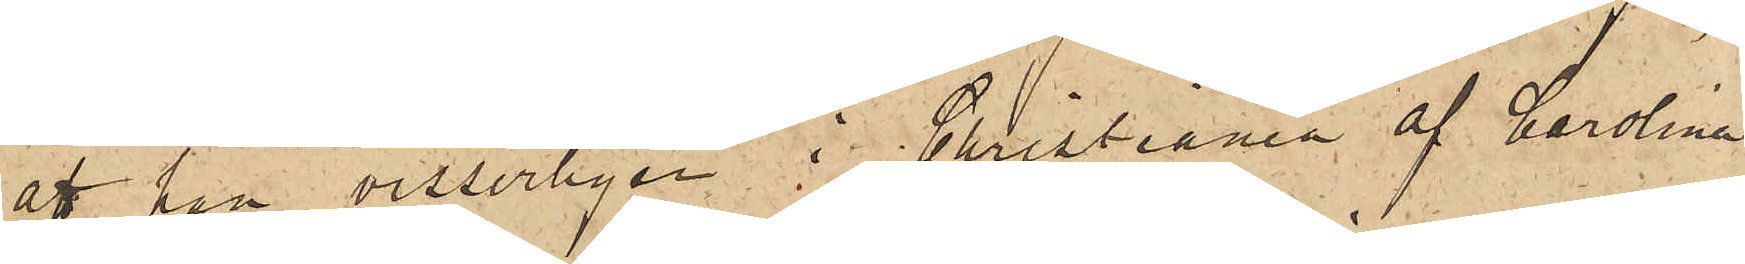att han visserligen i Christiania af Carolina
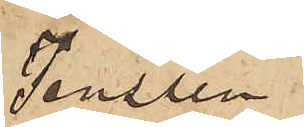Jensen
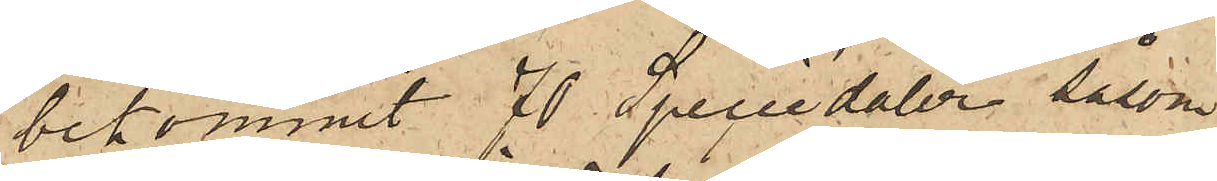bekommit 70 Speciedaler såsom
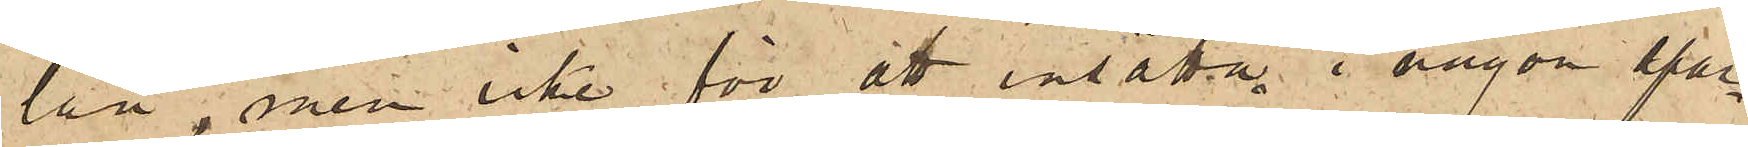lån, men icke för att insätta i någon spar¬
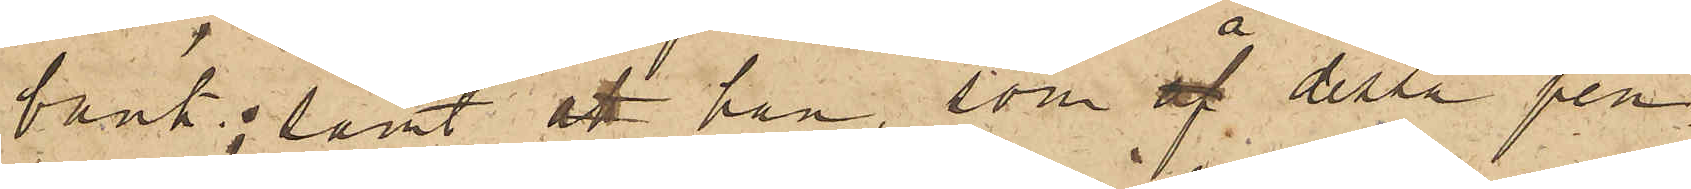bank; samt att han, som å dessa pen¬
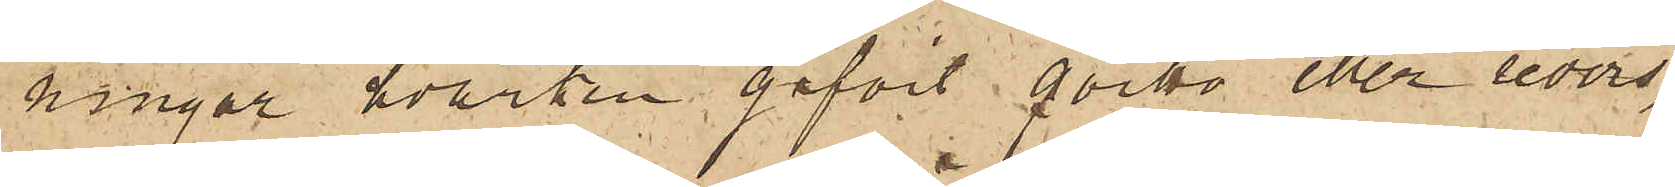ningar hvarken gifvit qvitto eller revers,
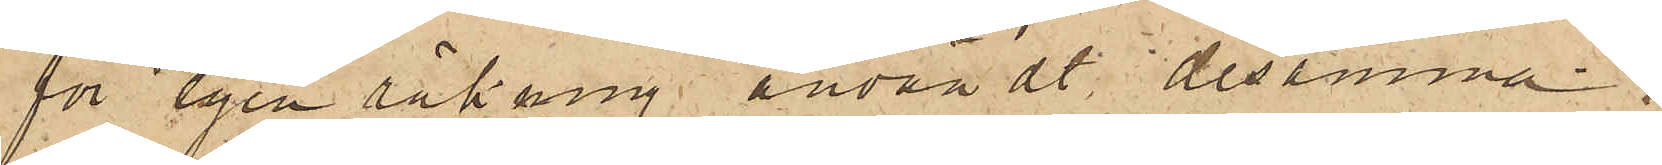för egen räkning användt desamma.
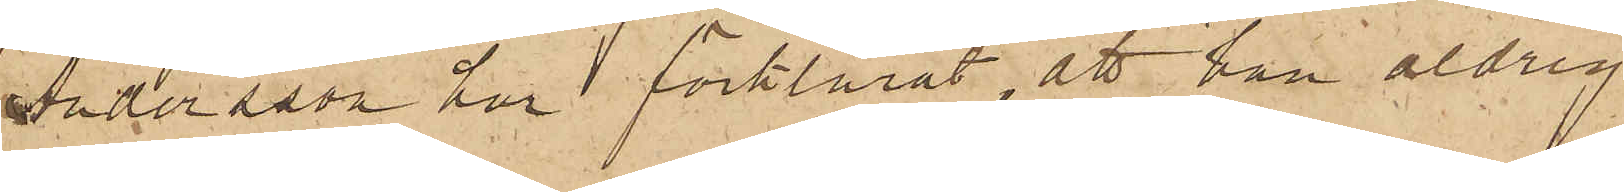Andersson har förklarat, att han aldrig
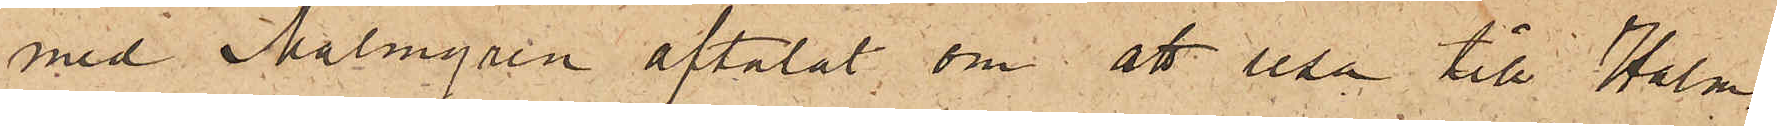med Malmgren aftalat om att resa till Halm¬
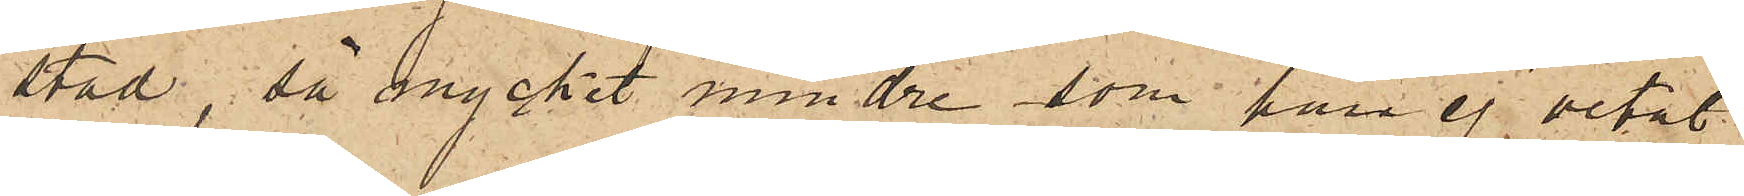stad, så mycket mindre som han ej vetat
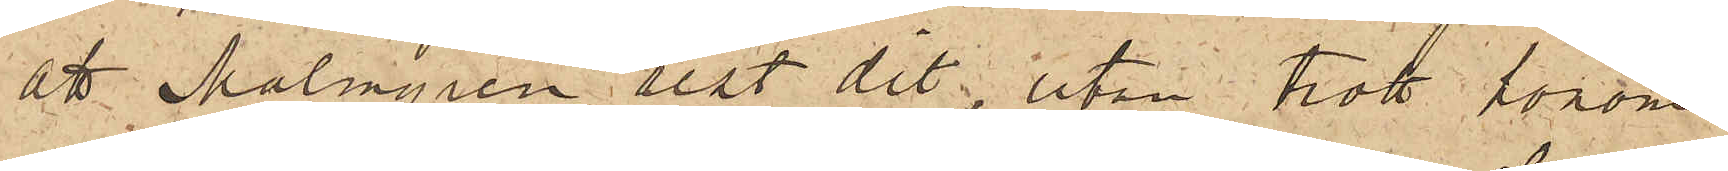att Malmgren rest dit, utan trott honom
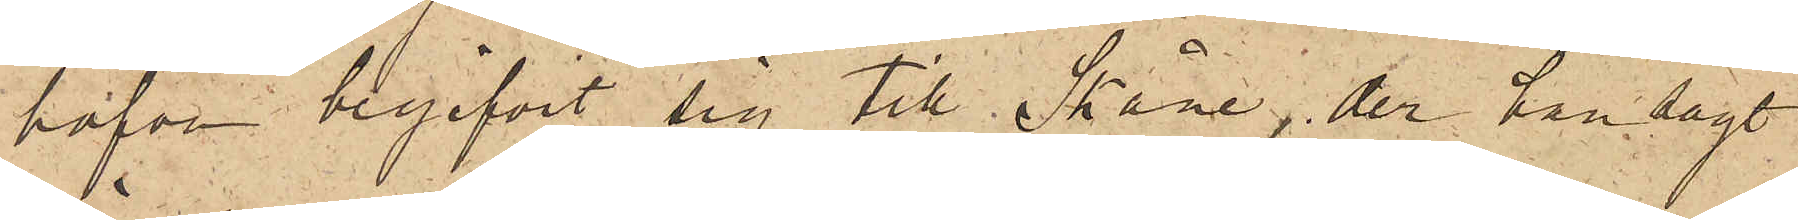hafva begifvit sig till Skåne, der han sagt
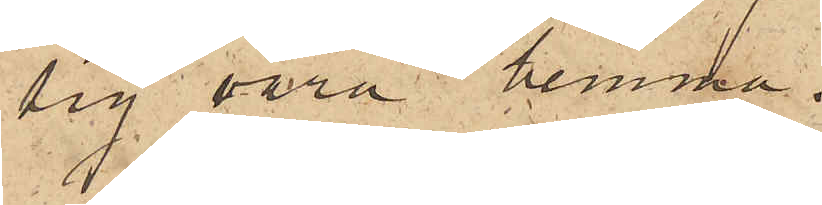sig vara hemma.
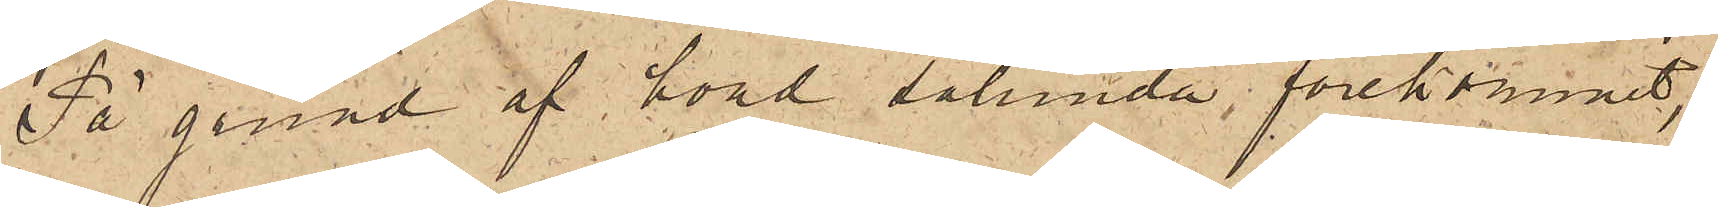På grund af hvad sålunda förekommit,
